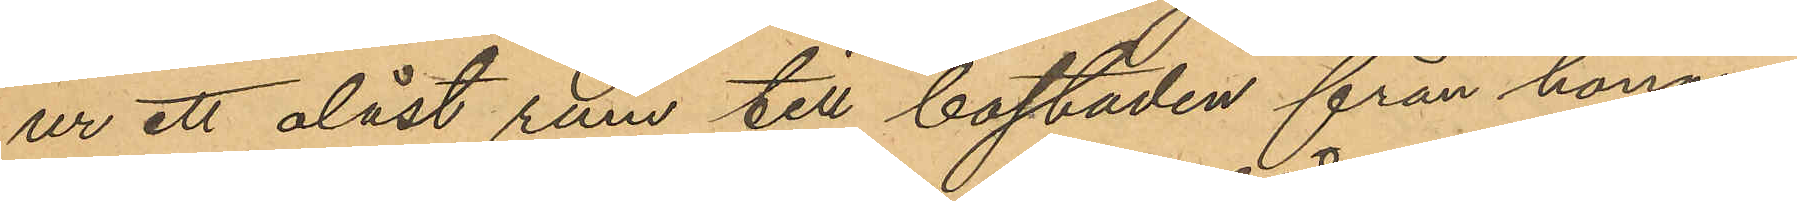ur ett olåst rum till bostaden från honom
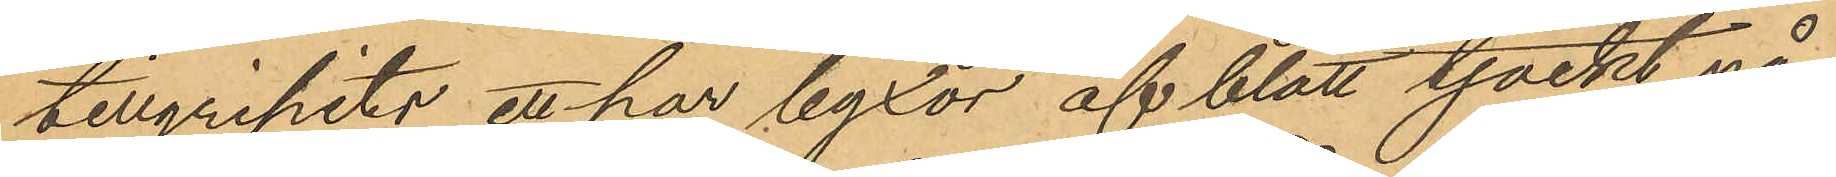tillgripits ett par byxor af blått tjockt nå¬
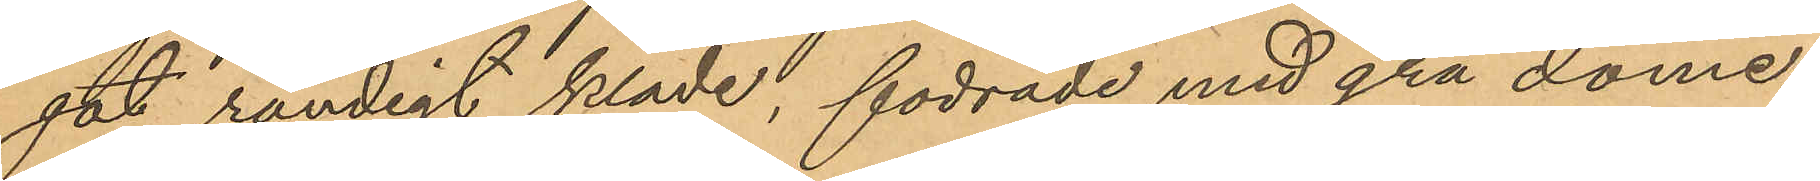got randigt kläde, fodrade med grå dome¬
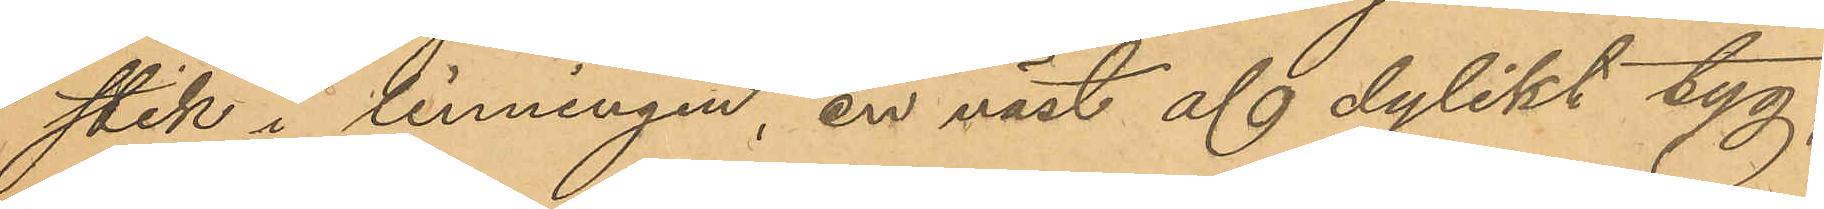stik i linningen, en väst af dylikt tyg,
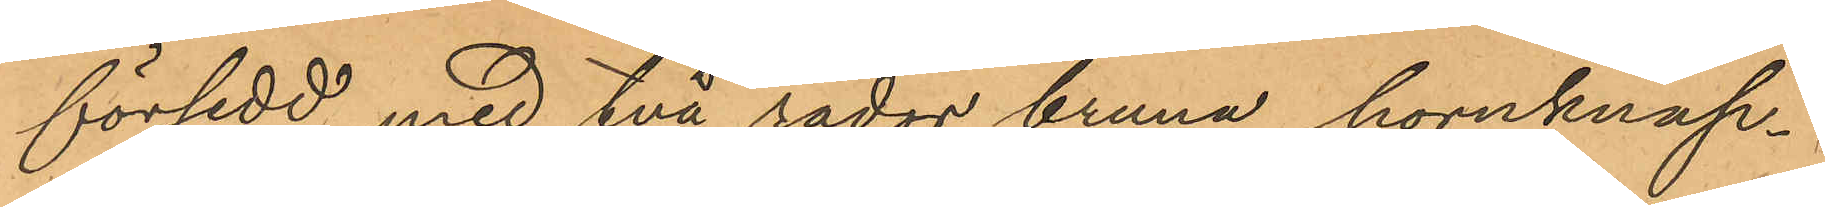försedd med två rader bruna hornknap¬
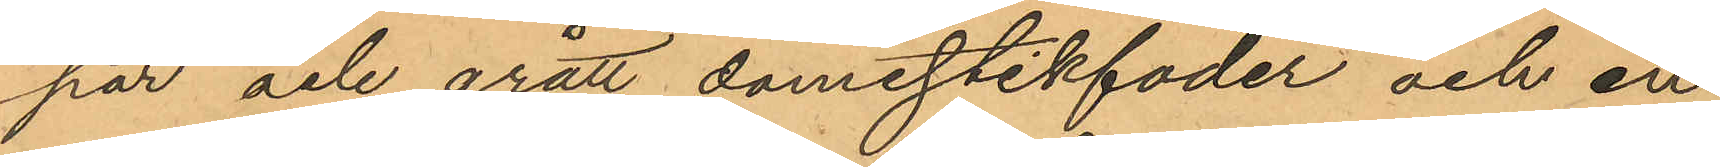par och grått domestikfoder och en
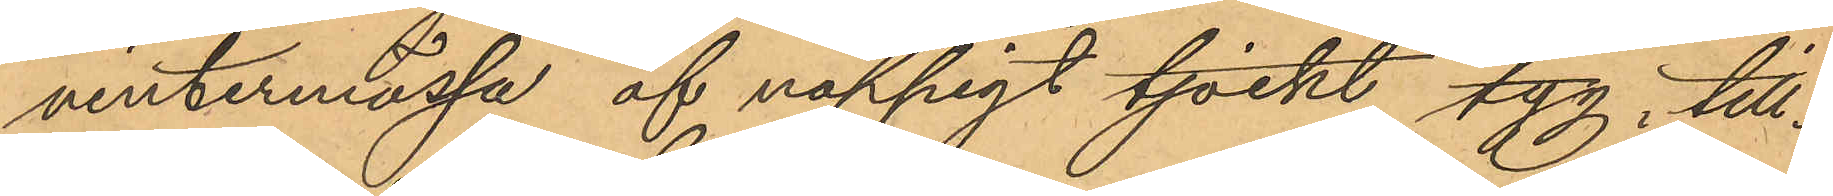vintermössa af noppigt tjockt tyg, till¬
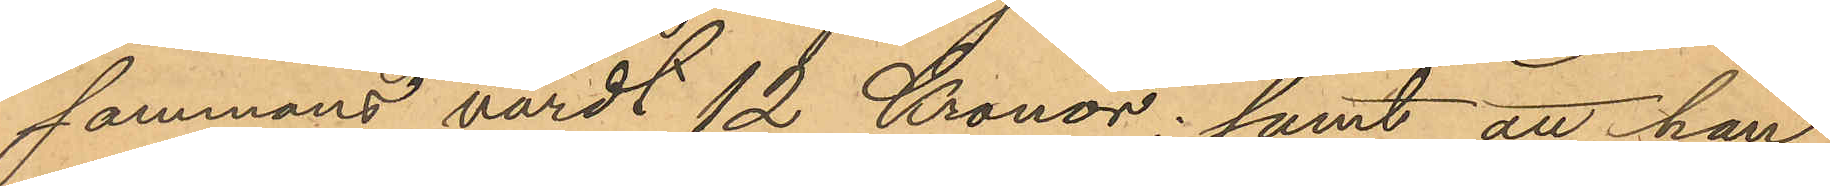sammans värdt 12 Kronor; samt att han
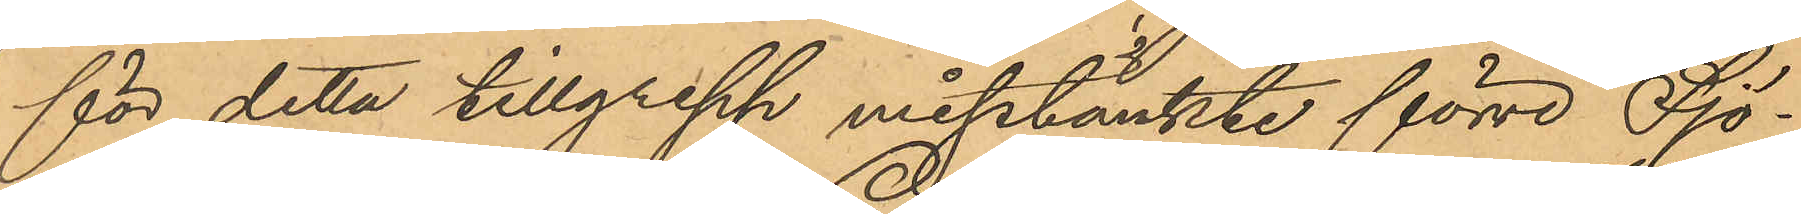för detta tillgrepp misstänkte förre Sjö¬
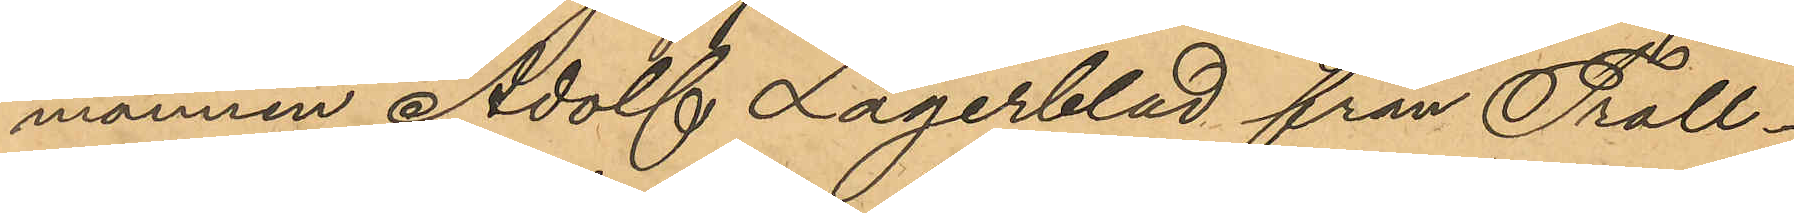mannen Adolf Lagerblad från Troll¬
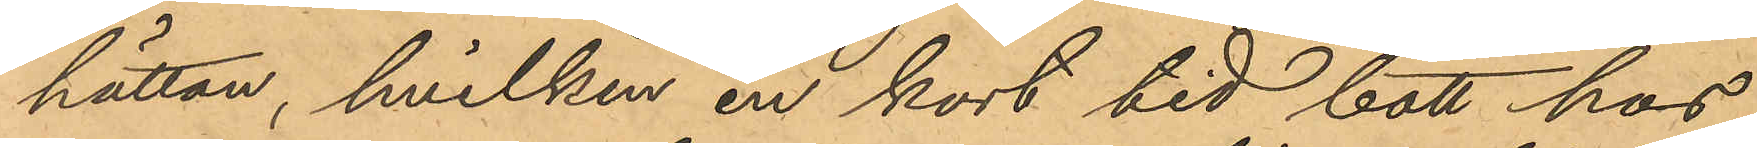hättan, hvilken en kort tid bott hos
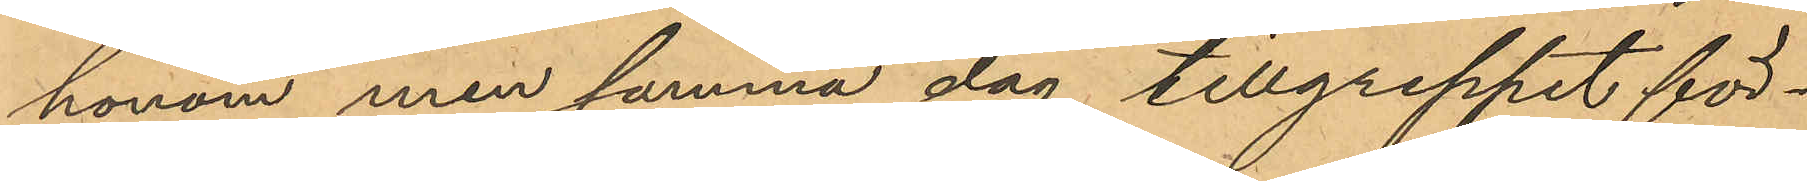honom men samma dag tillgreppet för¬
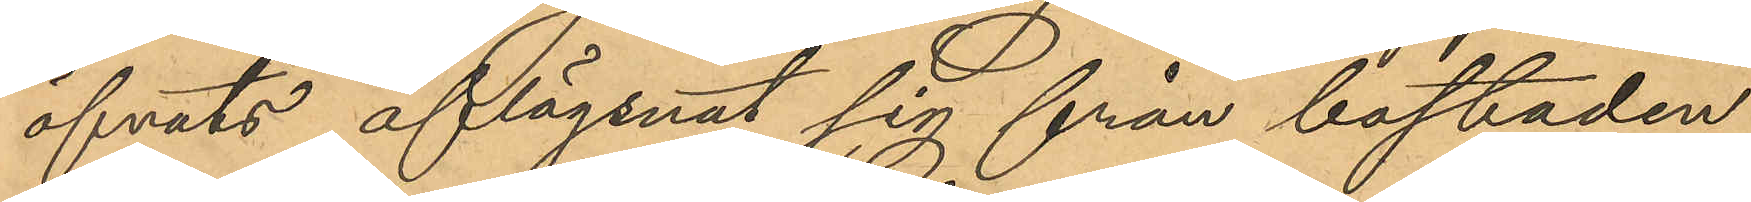öfvats aflägsnat sig från bostaden
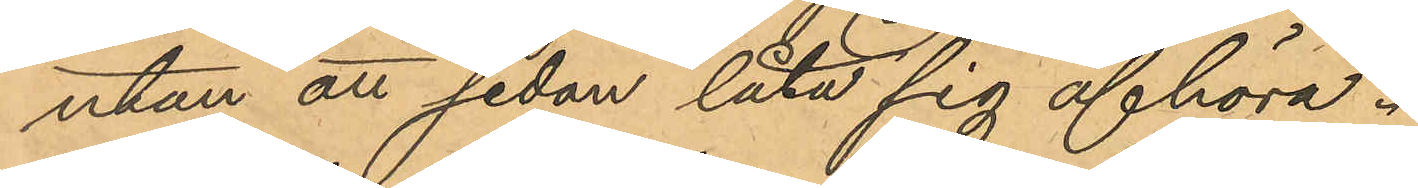utan att sedan låta sig afhöra.
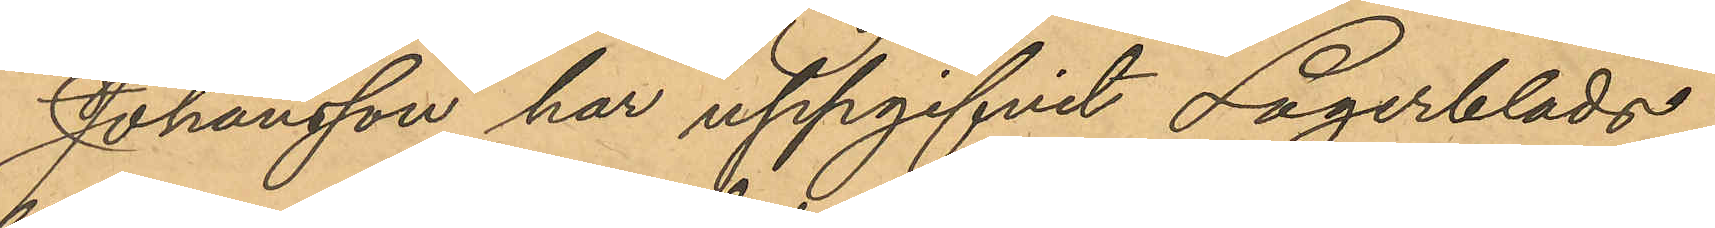Johansson har uppgifvit Lagerblads
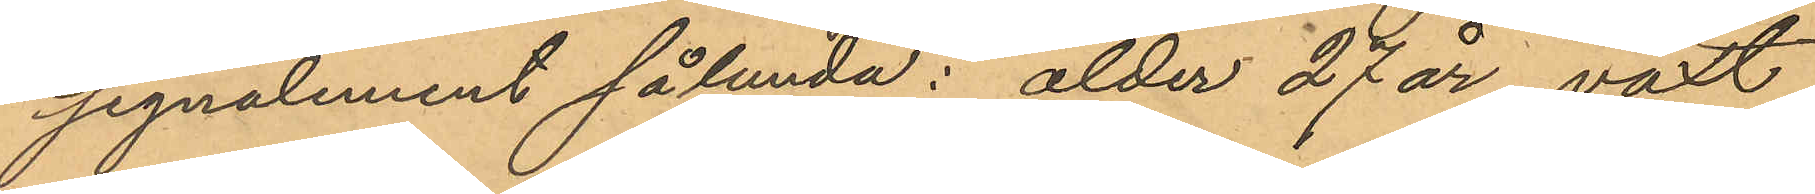signalement sålunda: ålder 27 år, växt
